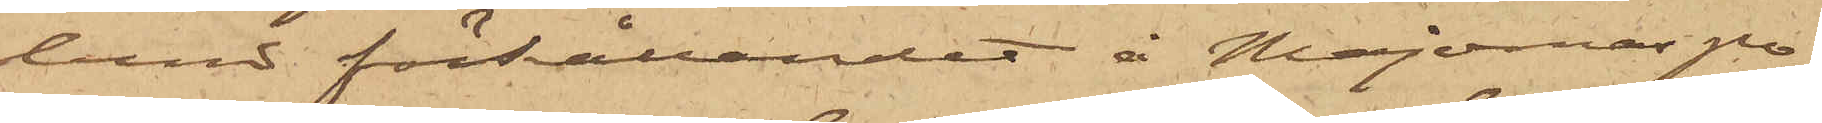lund förhållandet å Majornas po¬
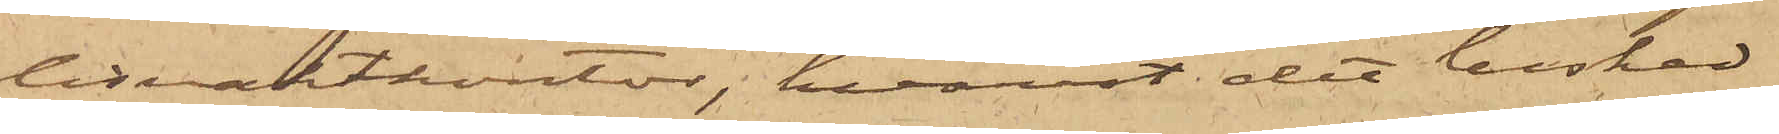lisvaktkontor, hvarest det besked
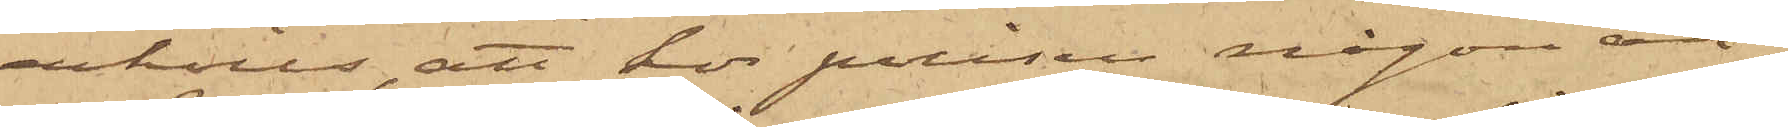erhölls, att hos polisen någon an¬
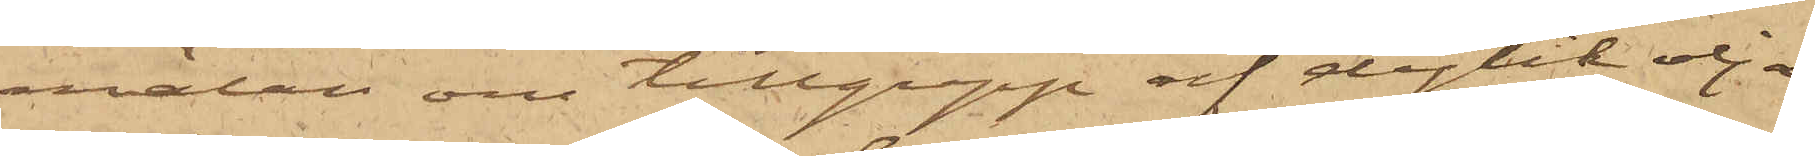mälan om tillgrepp af dylik olja
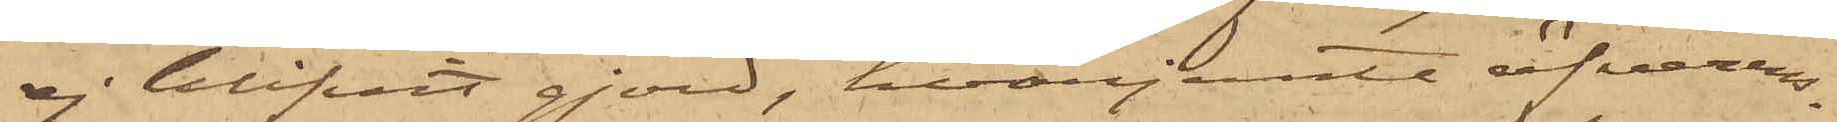ej blifvit gjord, hvarjemte öfverens¬
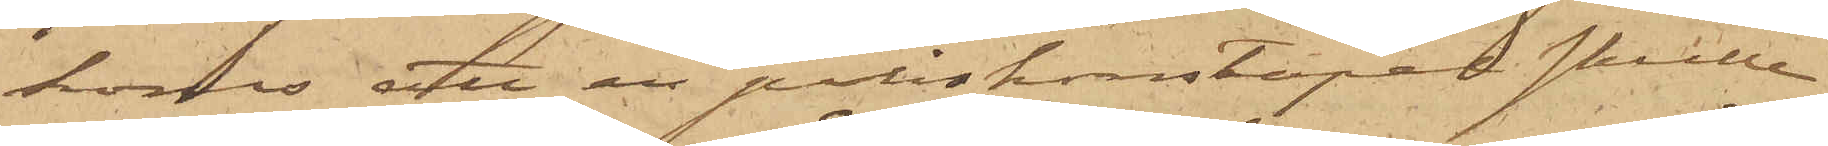koms, att en poliskonstapel skulle
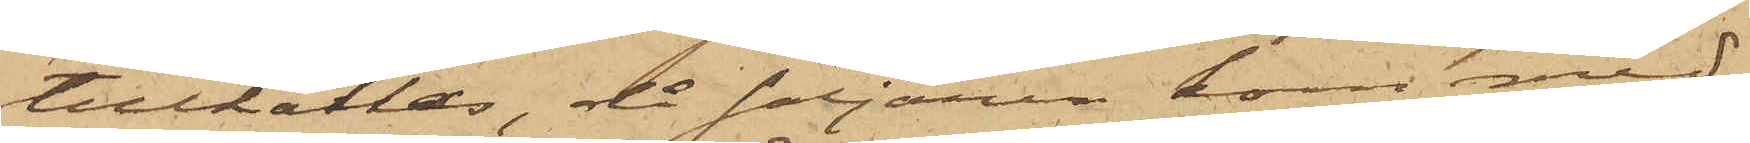tillkallas, då säljaren kom med
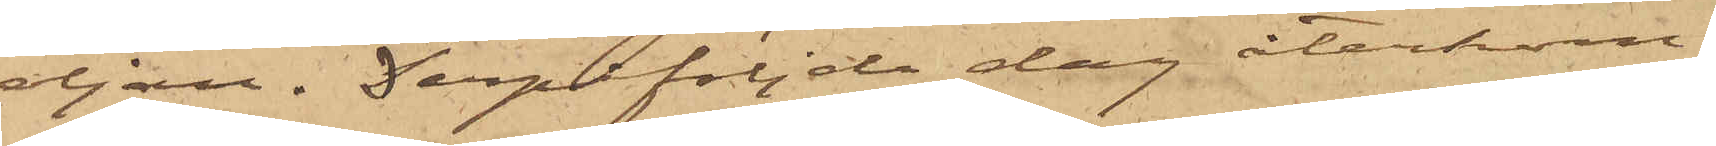oljan. Derpåföljde dag återkom
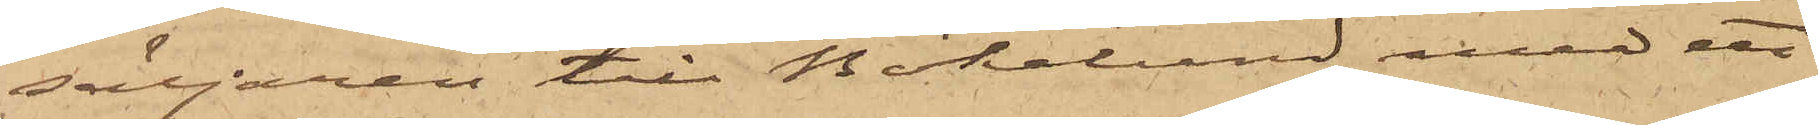säljaren till Bökelund med ett
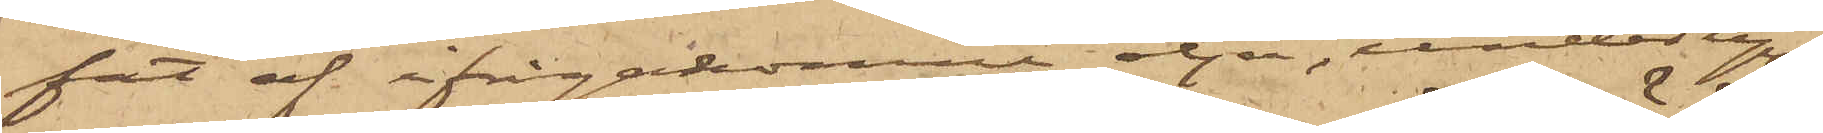fat af ifrågakomne olja, under upp¬
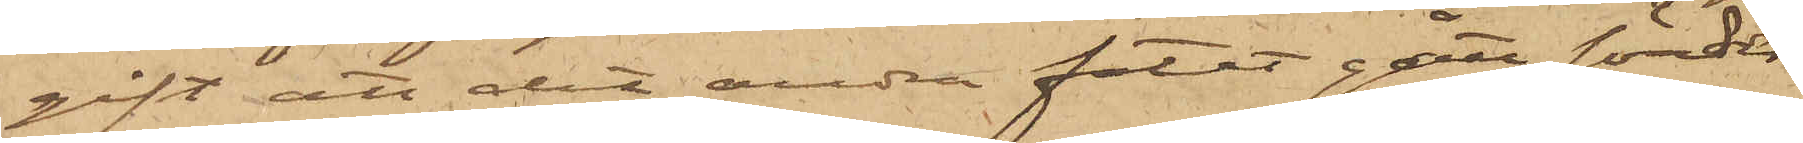gift att det andra fatet gått sönder.
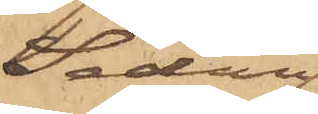Sedan
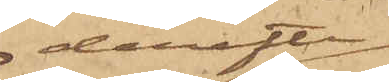derefter
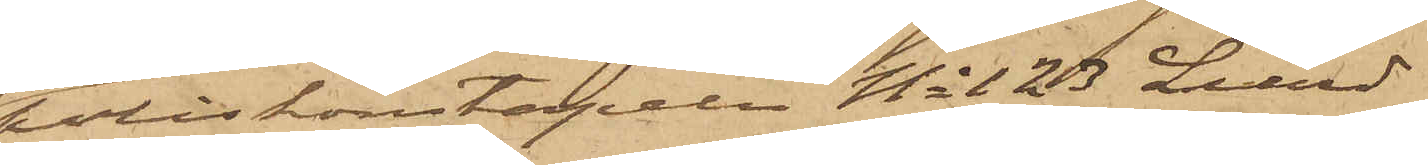poliskonstapeln No 123 Lund
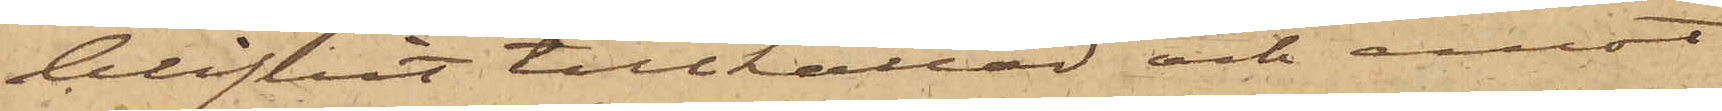blifvit tillkallad och emot
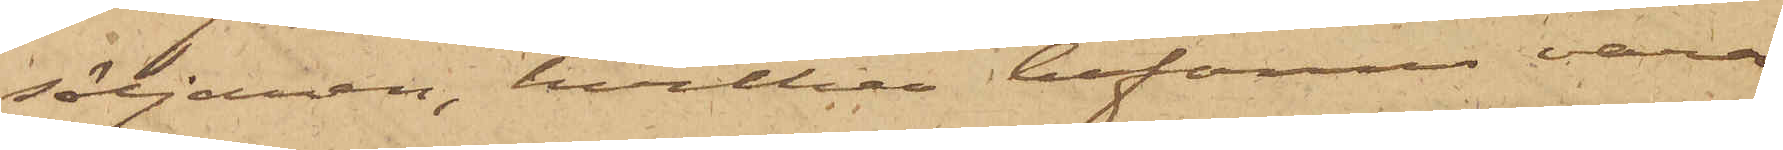säljaren, hvilken befanns vara
